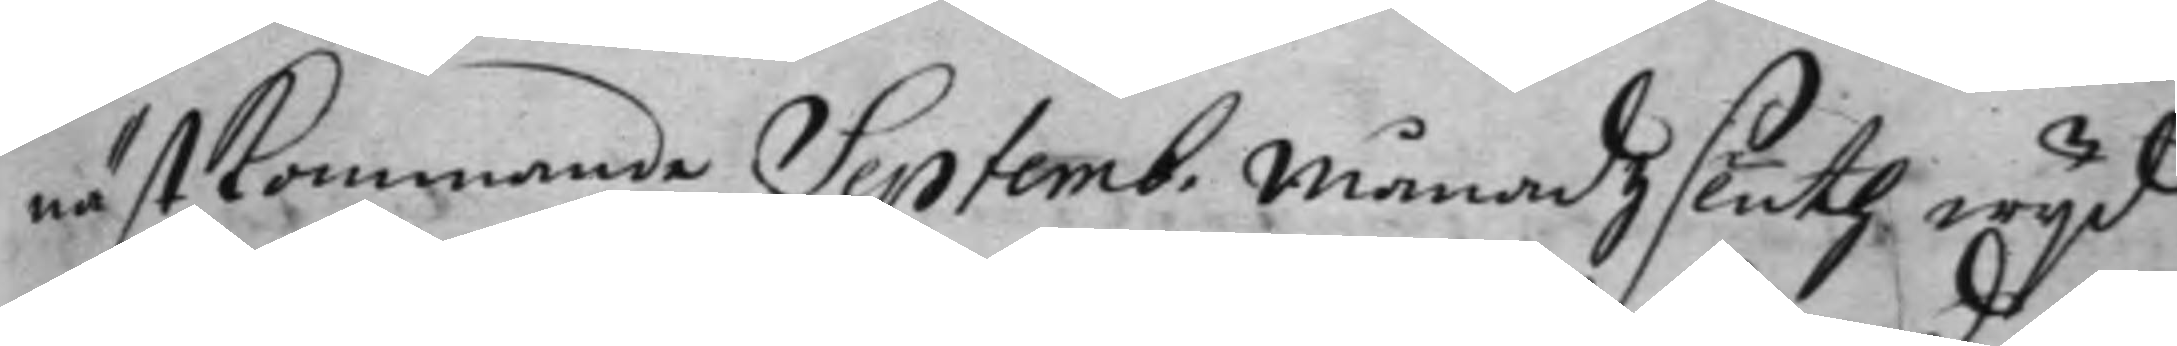nästkommande Septemb. Månadz sluth wijd
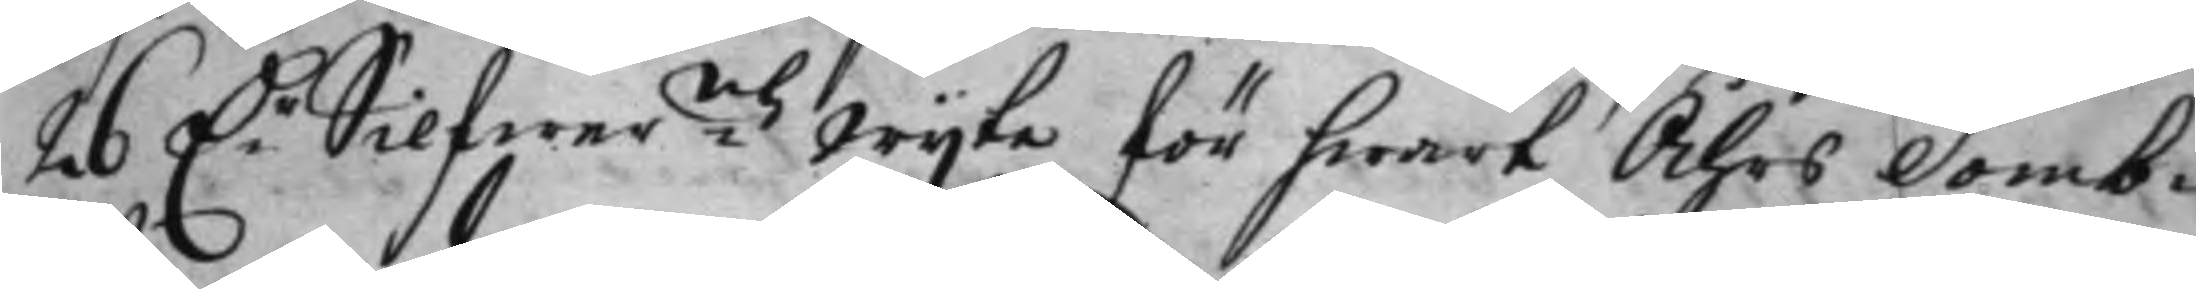26 D:r Silfwer:mtz wijte för hwart Åhrs Domb¬
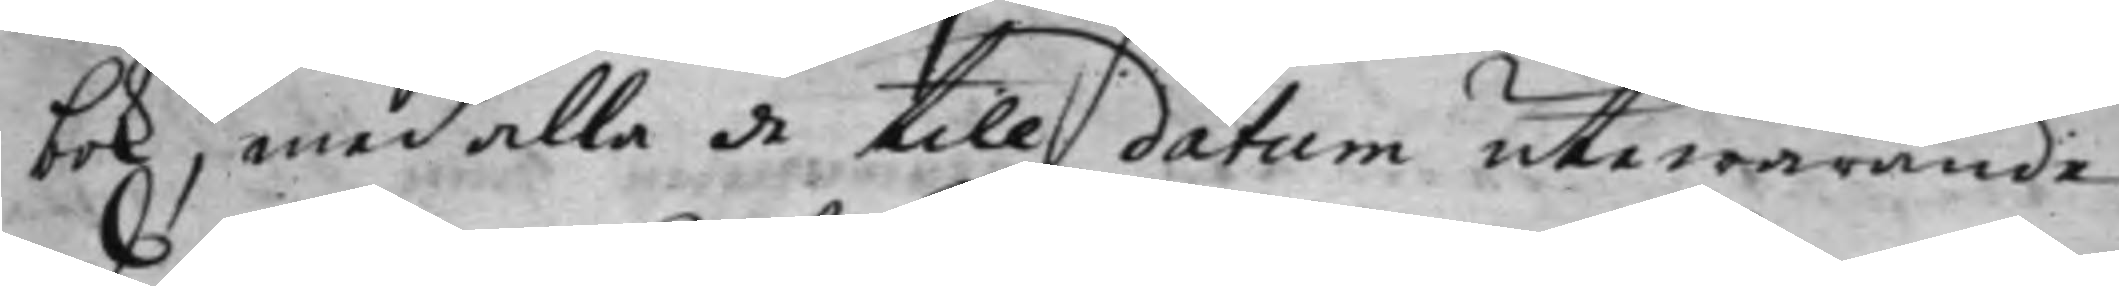bok, med alla de till datum utewarande
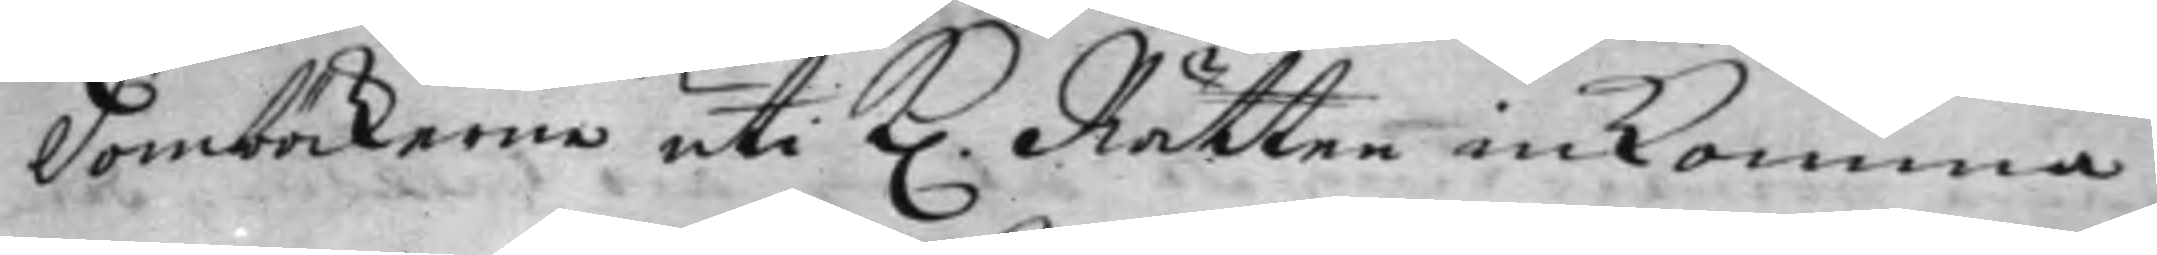Domböckerna uti K. Rätten inkomma.
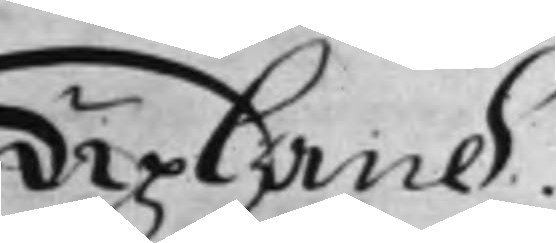Upland.
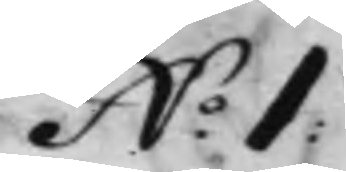N.o 1:
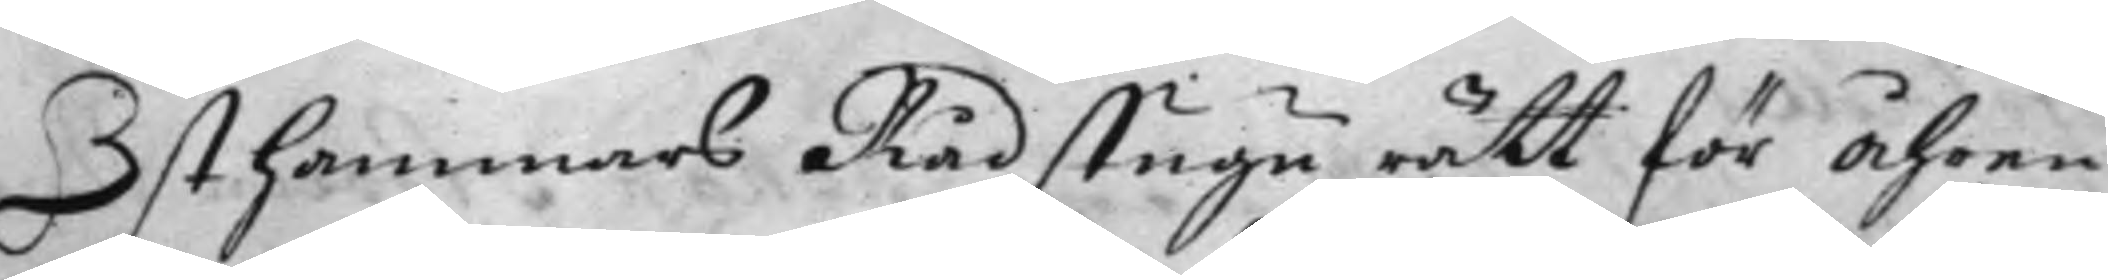Östhammars Rådstugu rätt för Åhren
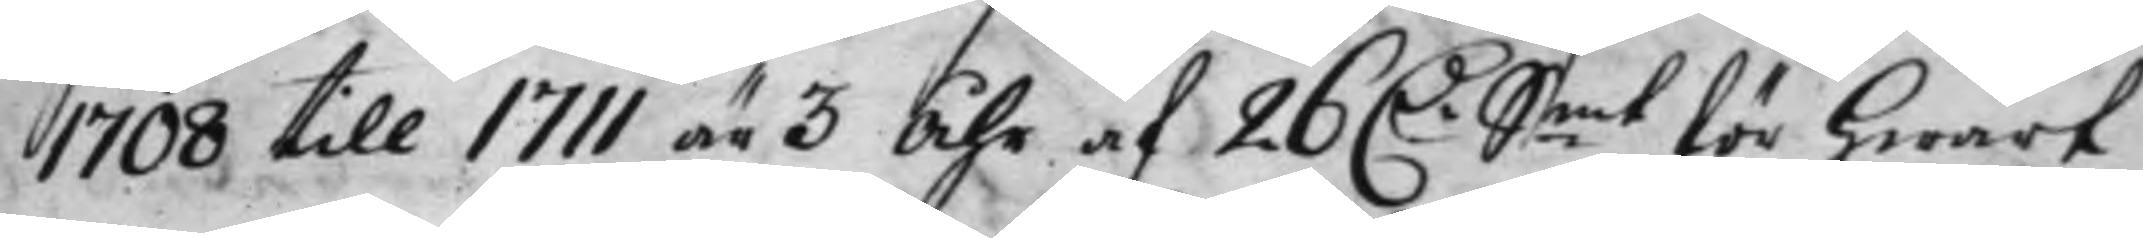1708 till 1711 är 3 Åhr af 26 D.r S:mt för hwart
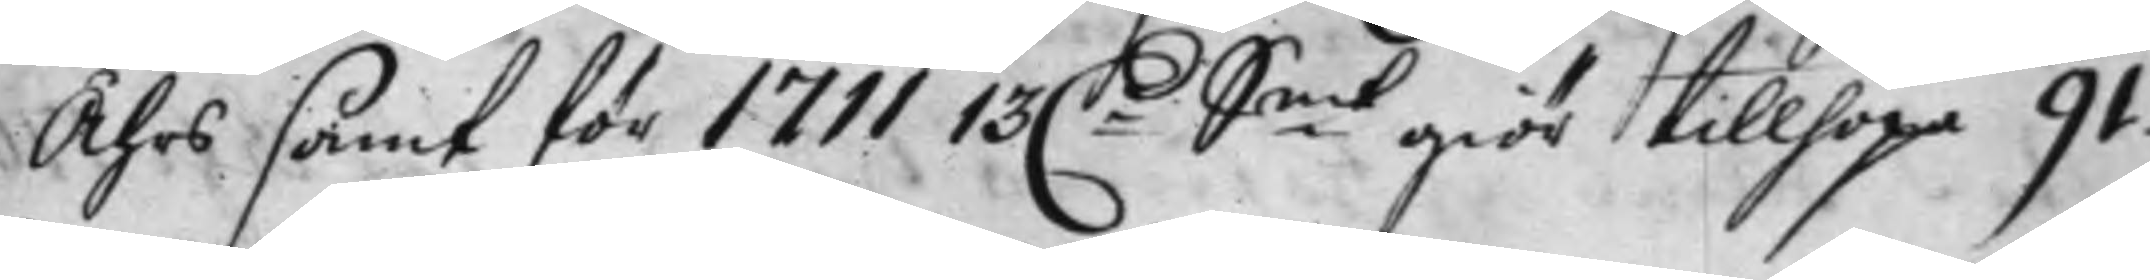Åhrs samt för 1711 13 D:r S.mt giör tillhopa 91.
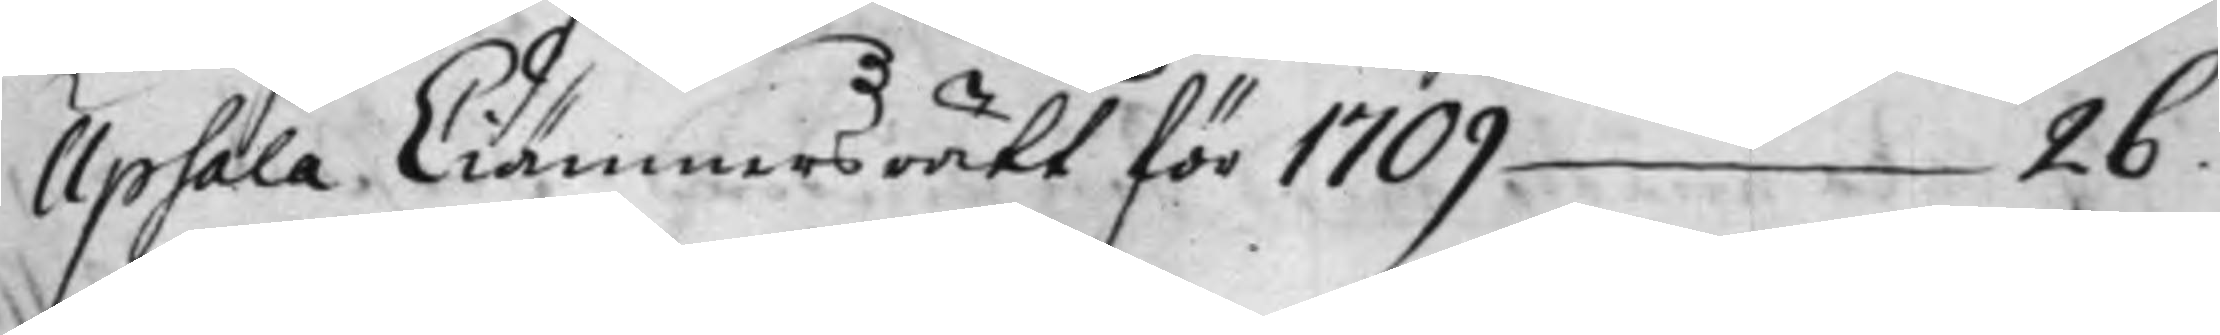Upsala Ciämners rätt för 1709 26.
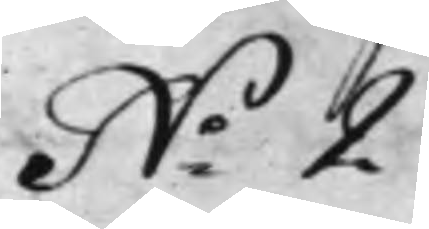N:o 2.
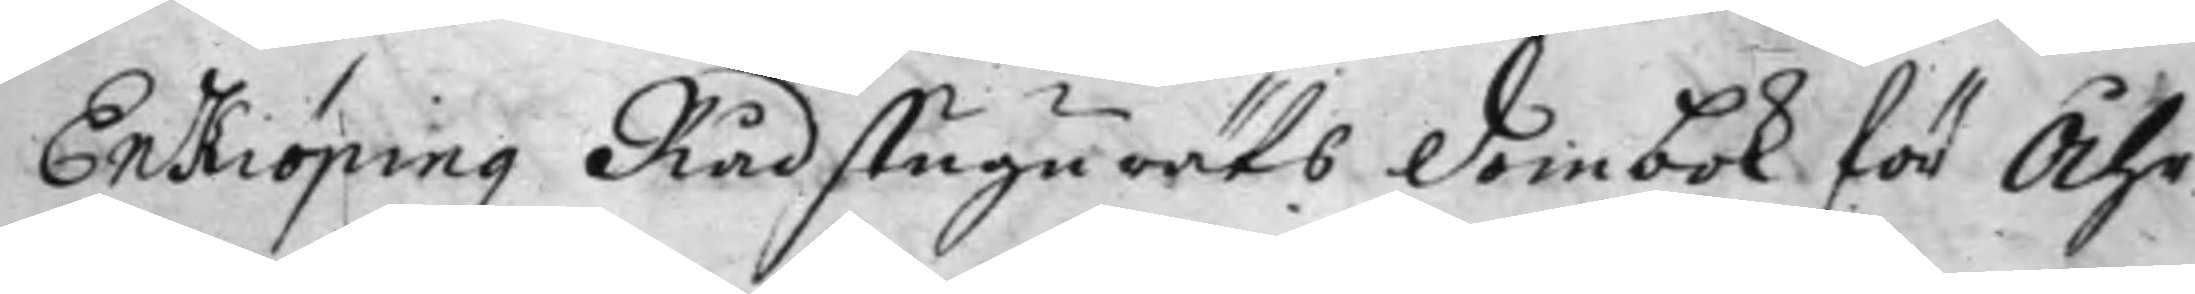Enkiöpingz Rådstugu räts Dombok för Åhr
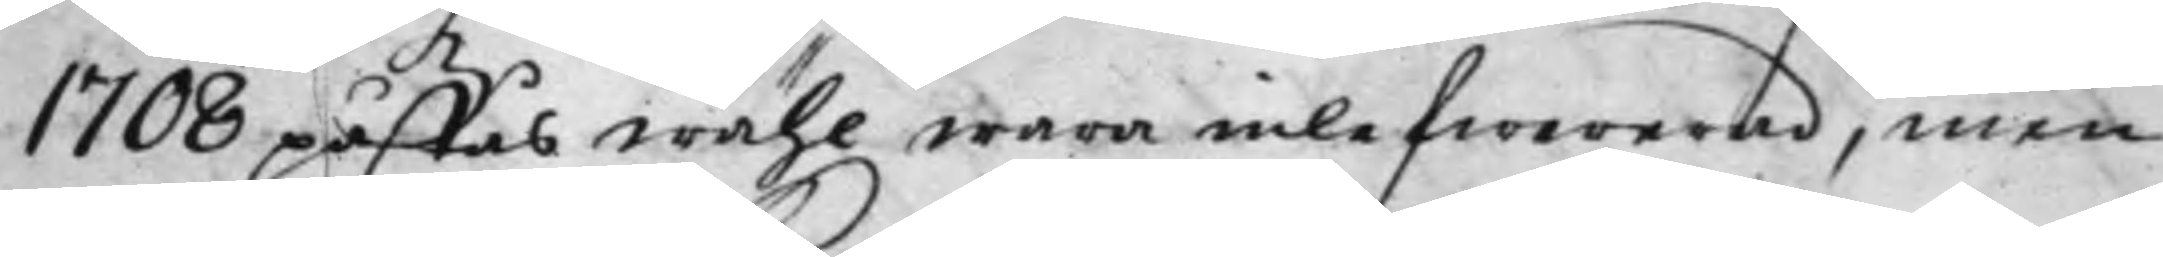1708 påstås wähl wara inlefwererad, men
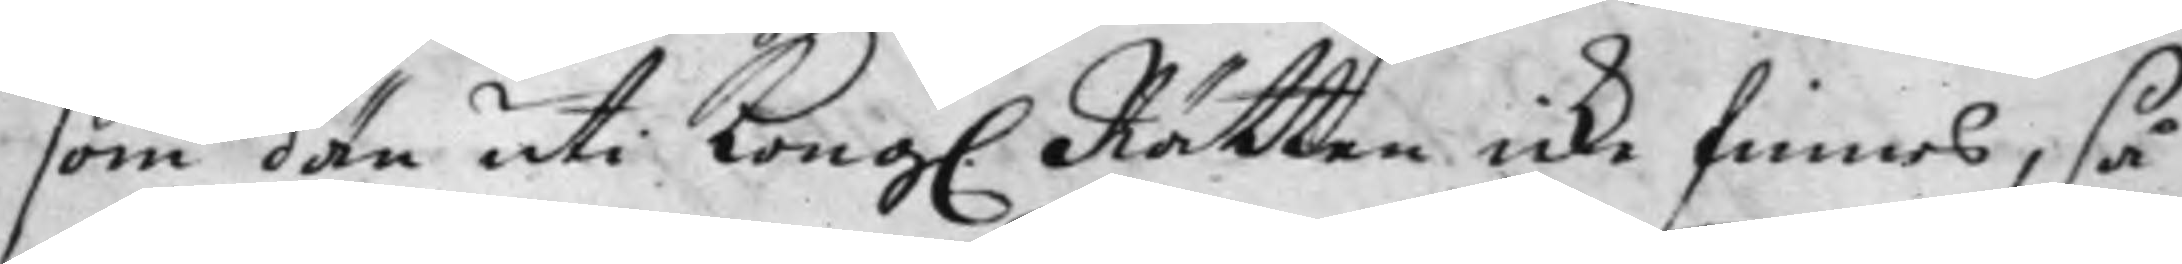som dän uti Kong. Rätten icke finnes, så
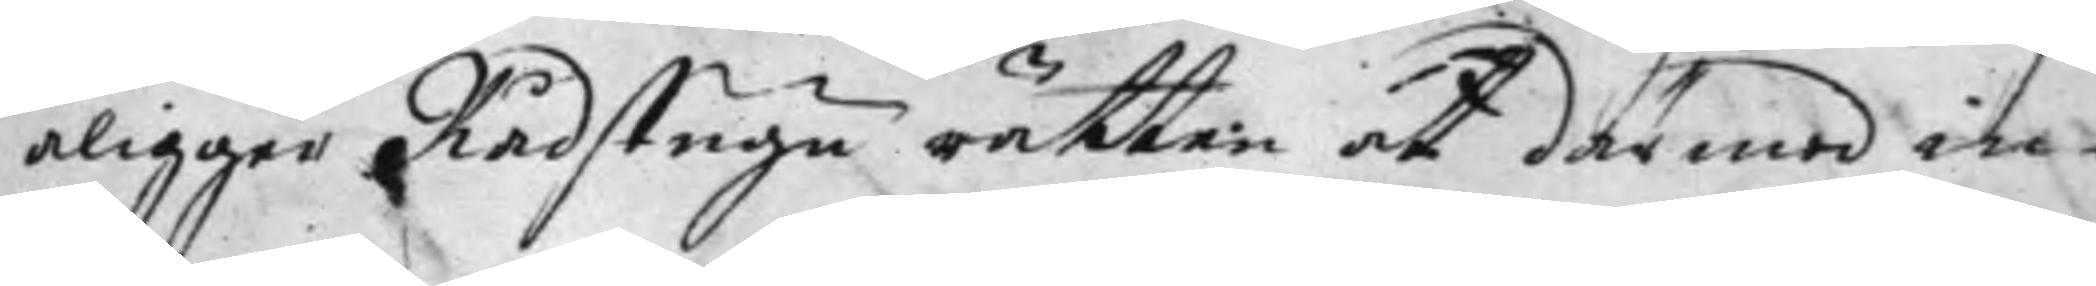åligger Rådstugu rätten at därmed in¬
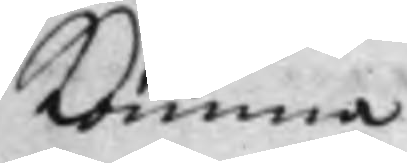komma
